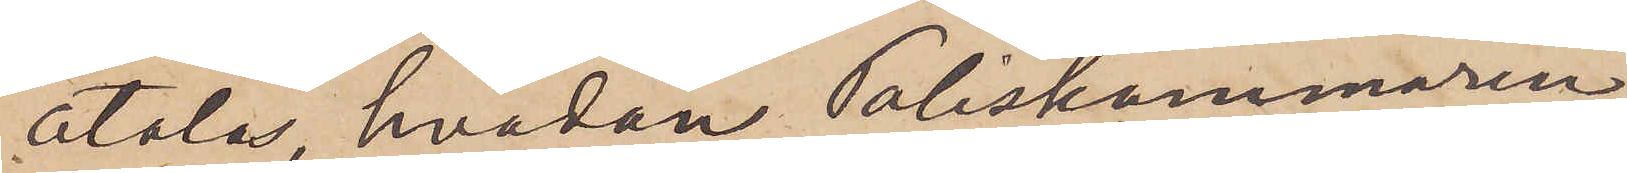åtalas, hvadan Poliskammaren
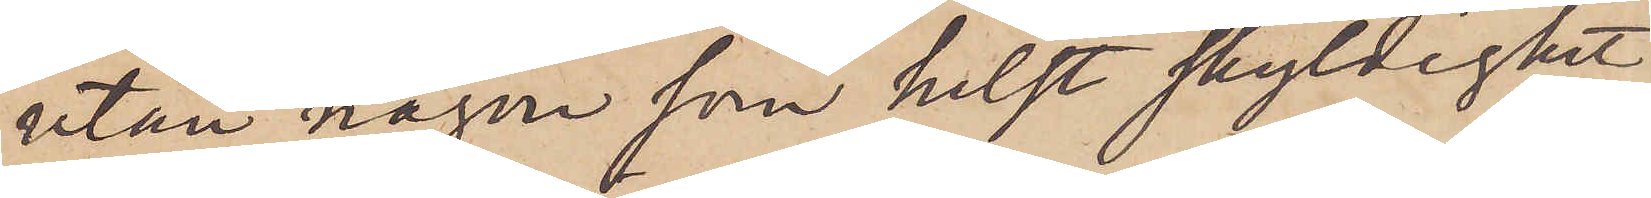utan någon som helst skyldighet
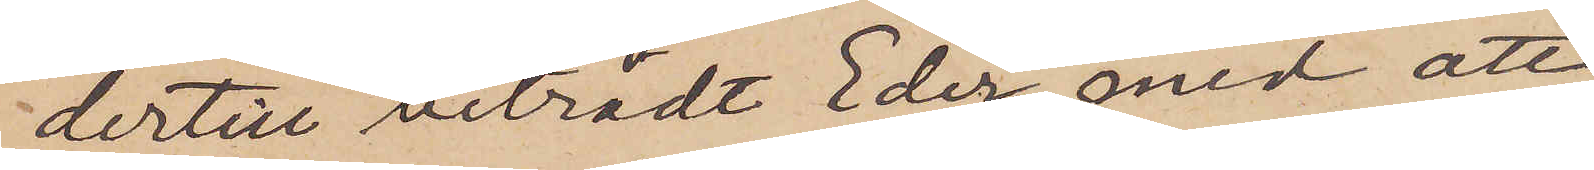dertill biträdt Eder med att
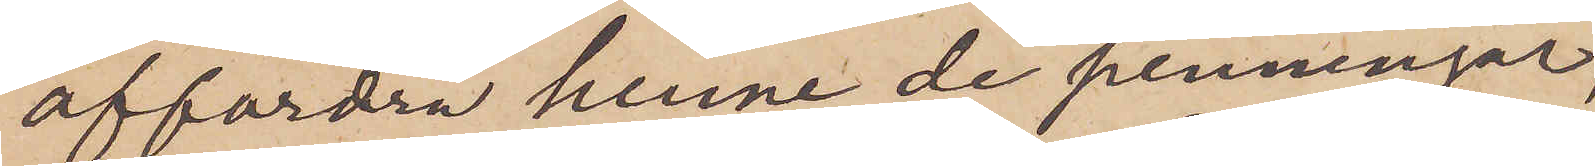affordra henne de penningar,
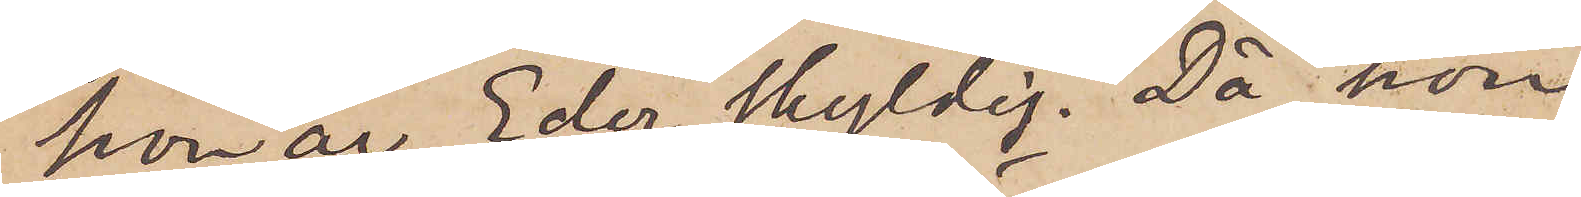hon är Eder skyldig. Då hon
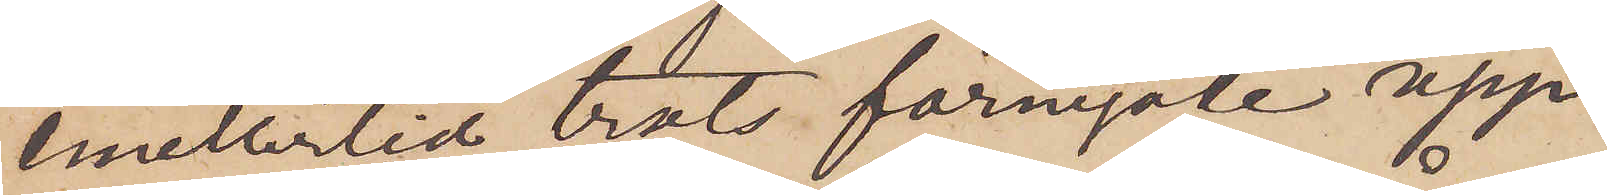emellertid trots förnyade upp¬
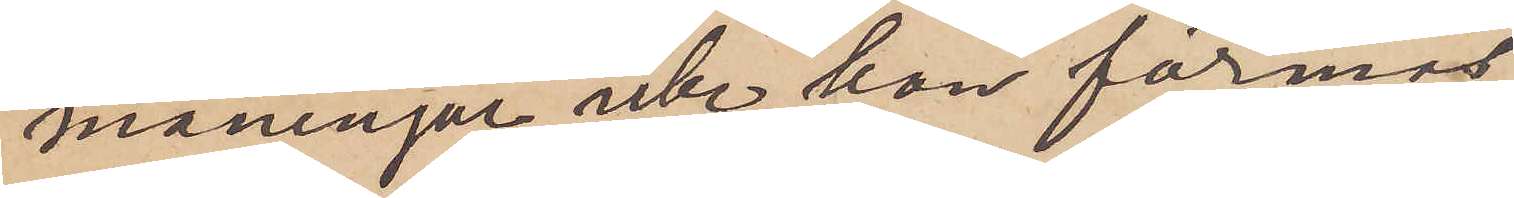maningar icke kan förmås
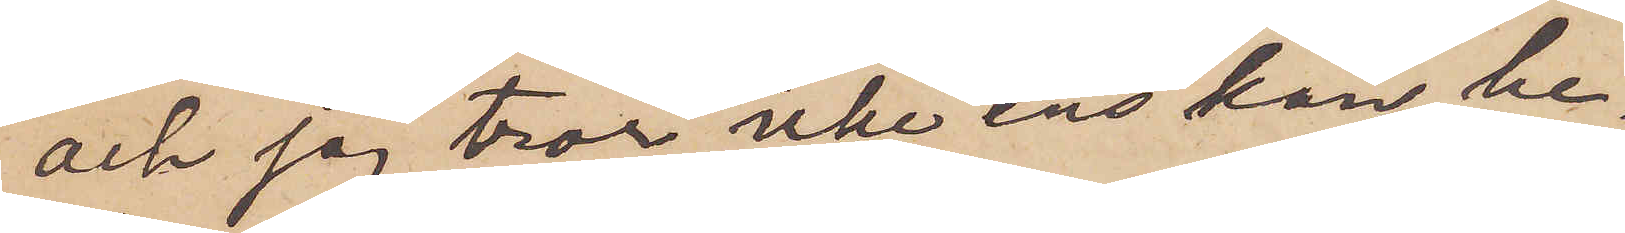och jag tror icke ens kan be¬
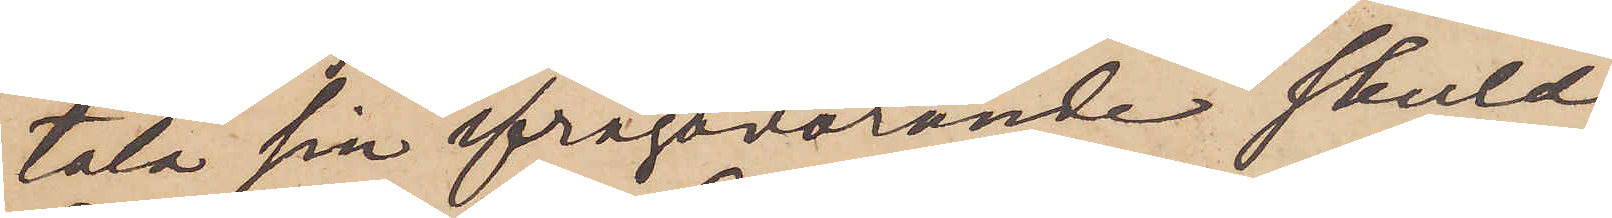tala sin ifrågavarande skuld
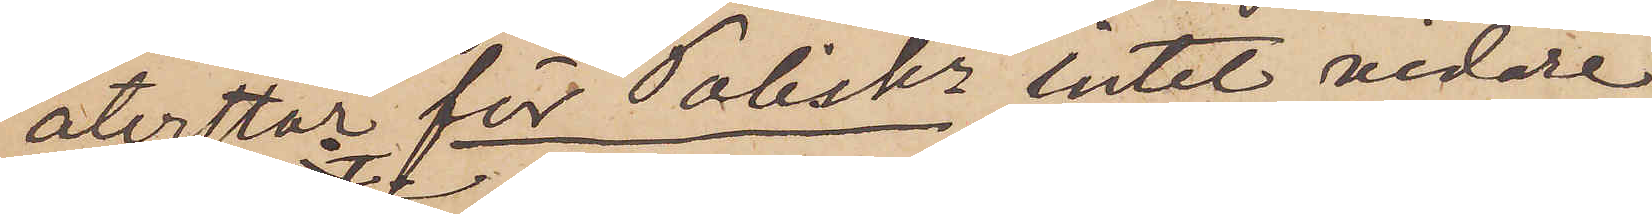återstår för Poliskn intet vidare
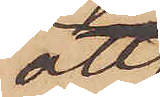att
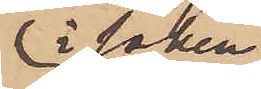i saken
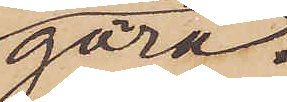göra.
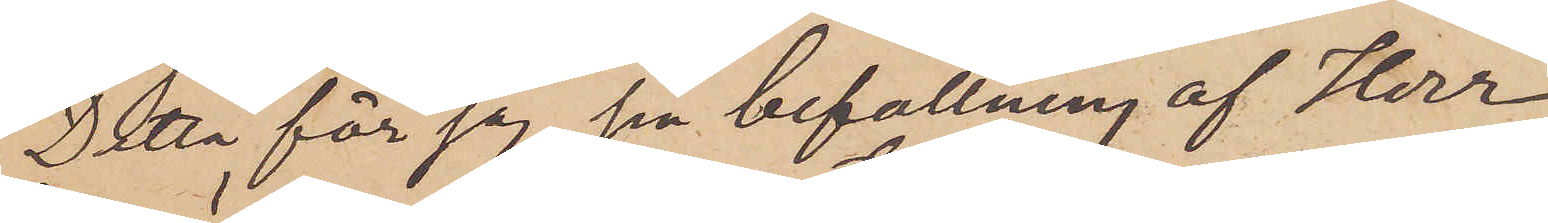Detta får jag på befallning af Herr
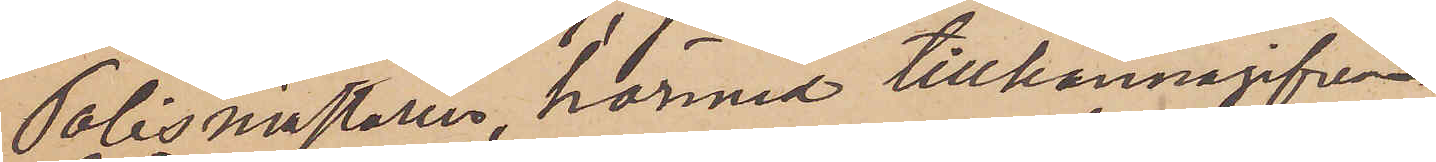Polismästaren härmed tillkännagifva.
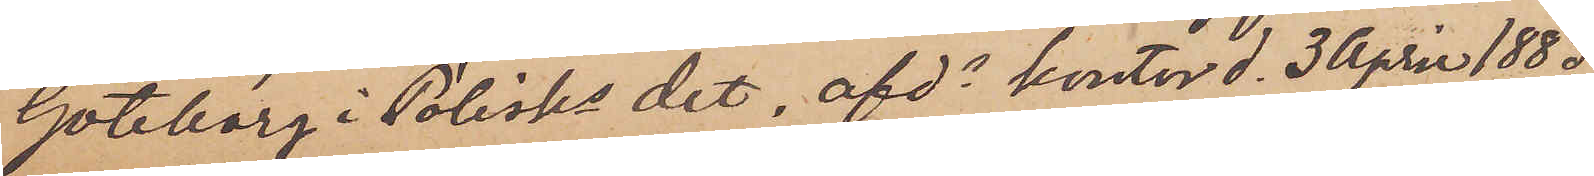Göteborg i Polisks det. afdn kontor d. 3 April 1883.
